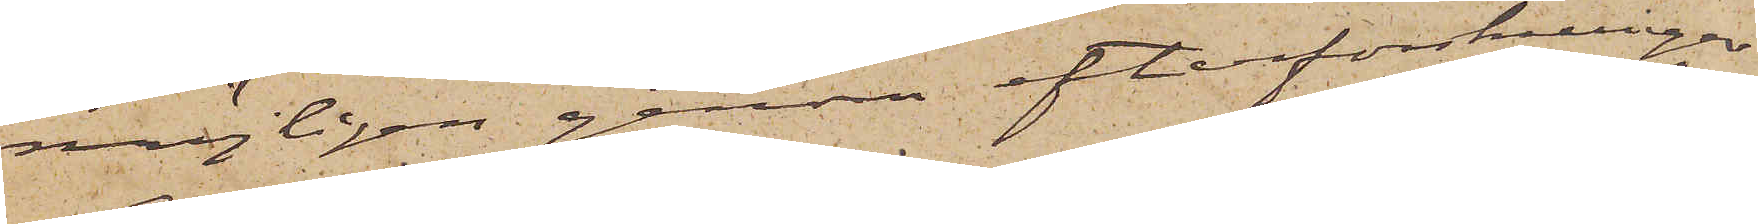möjligen genom efterforskningar
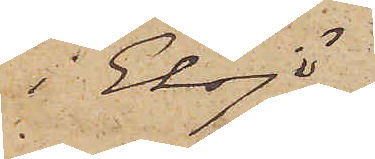i Eksjö
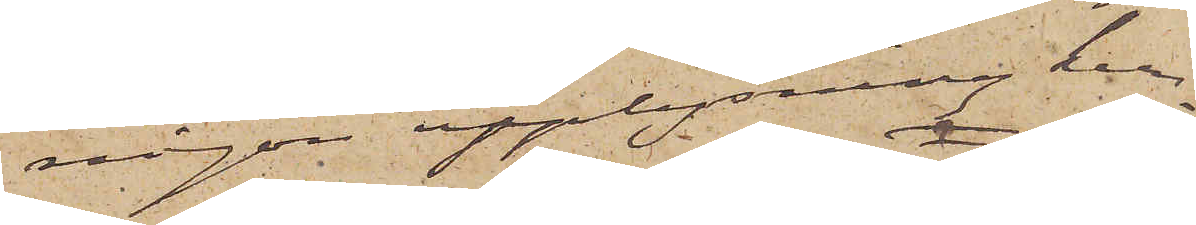någon upplysning kun¬
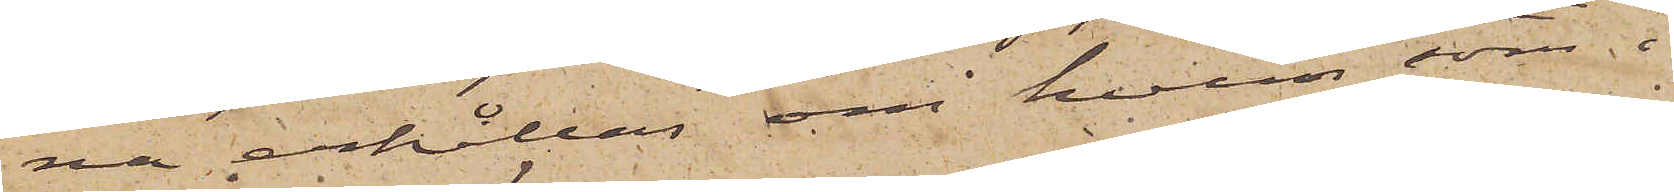na erhållas om hvem, som i
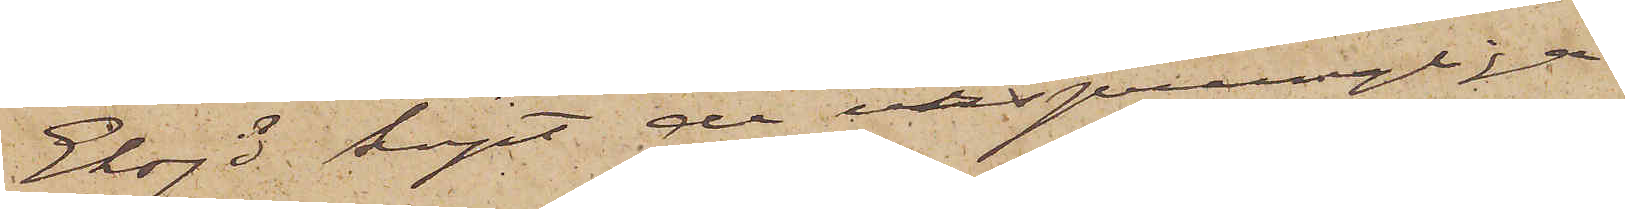Eksjö köpt de ursprungliga
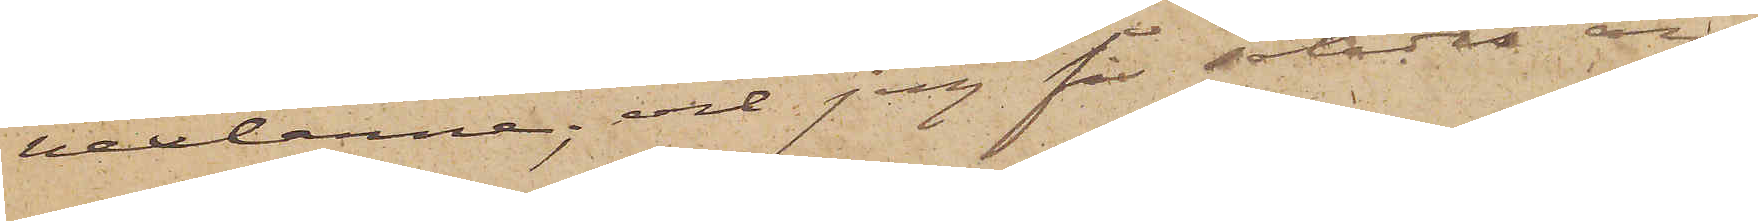vexlarne; och jag får således an¬
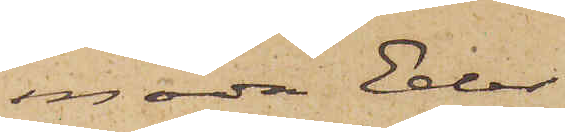moda Eder
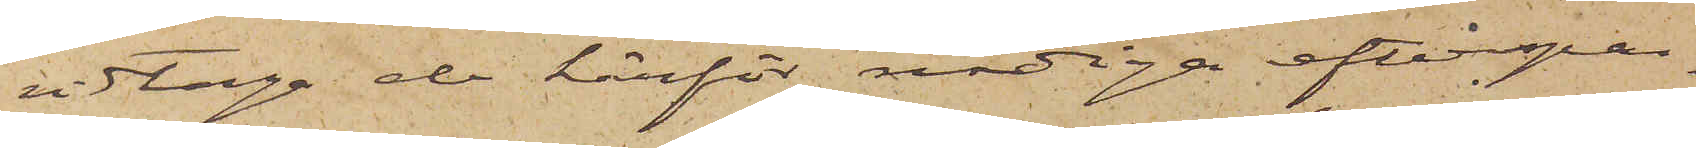vidtaga de härför nödiga efterspan¬
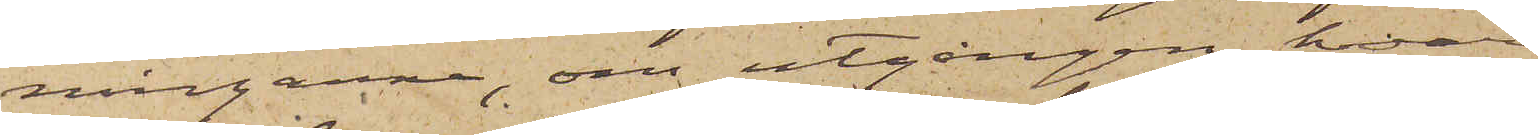ningarna, om utgången hvaraf
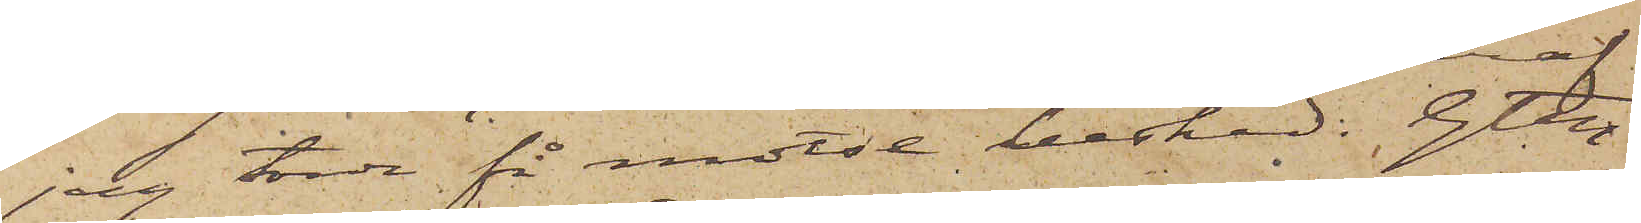jag torde få motse besked. Gtbg
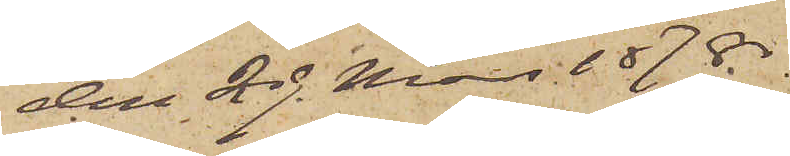den 29 Mars 1878.
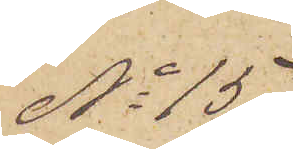No 15
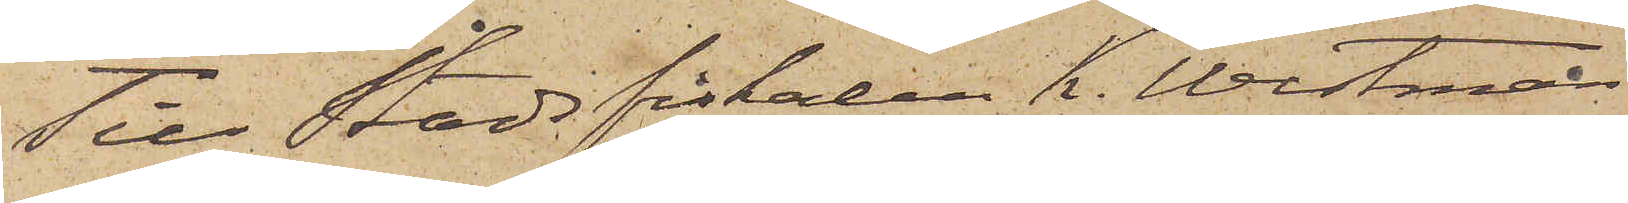Till Stadsfiskalen K. Westman
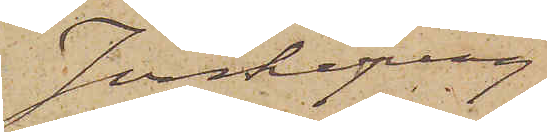Jönköping
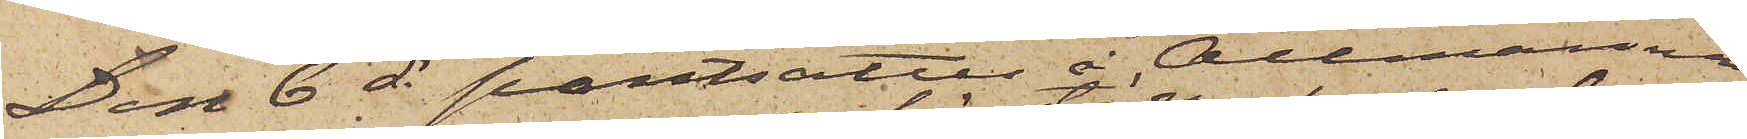Den 6 ds pantsattes å Allmänna
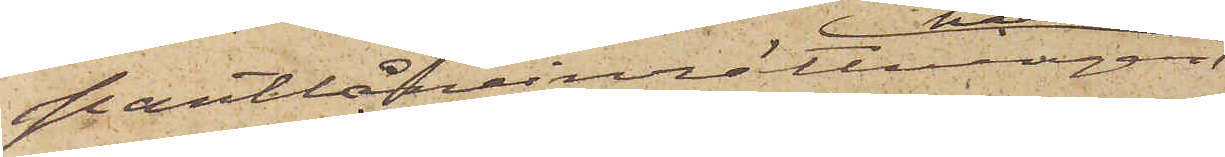Pantlåneinrättningen
